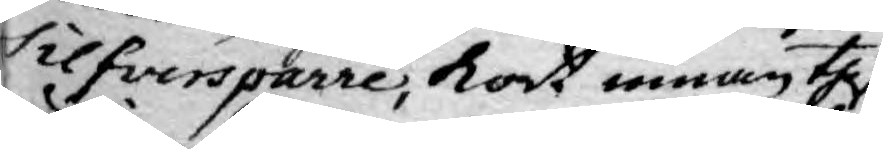Silfversparre, kort innan theß
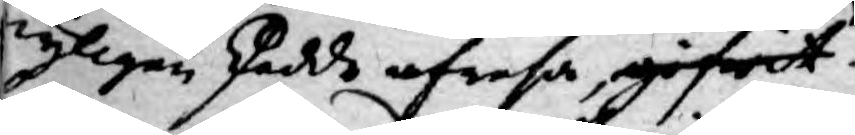nyligen skedde afresa, gifwit
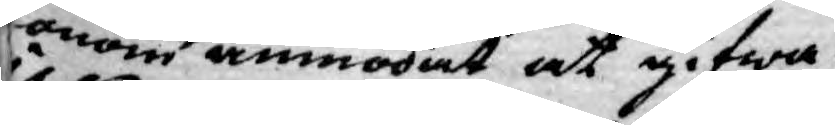honom anmodat at gifwa
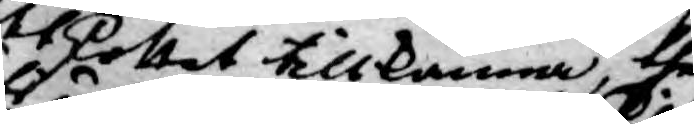Utskottet tillkänna, thet
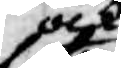ock
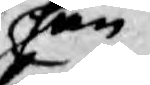han
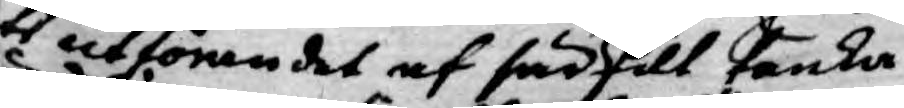uti utförandet af särskilt tanka
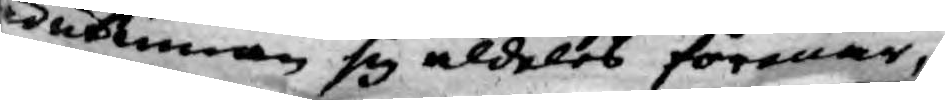här utinnan sig aldeles förenar,
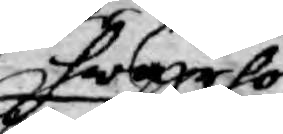hware hos
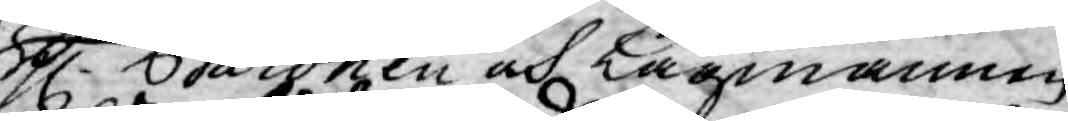H Baronen och Lagmannen
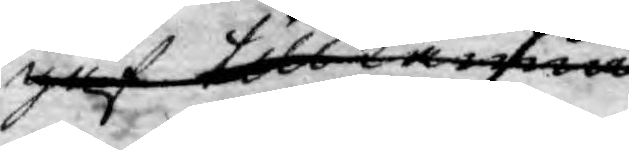gaf tillkänna
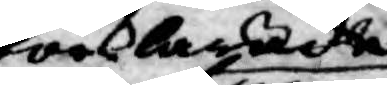förklarade
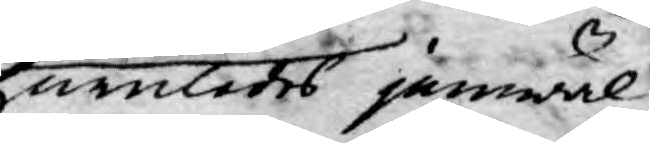huruledes jämwäl
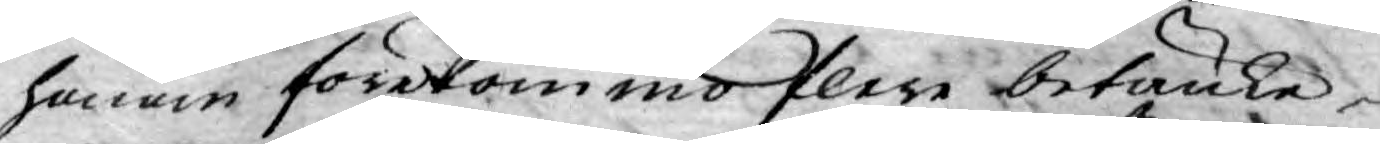honom förekommo flere betänke¬
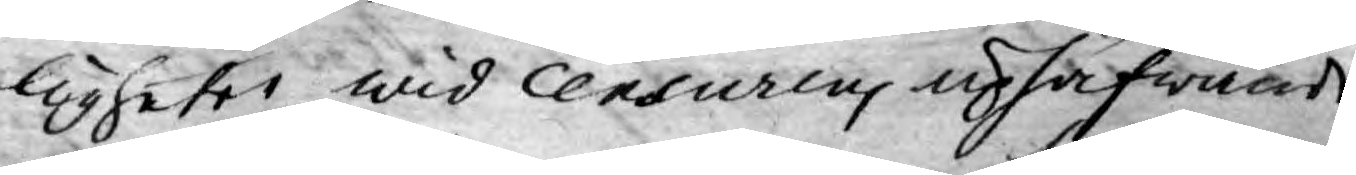ligheter wid Censurens uphäfwande
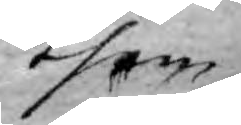them
